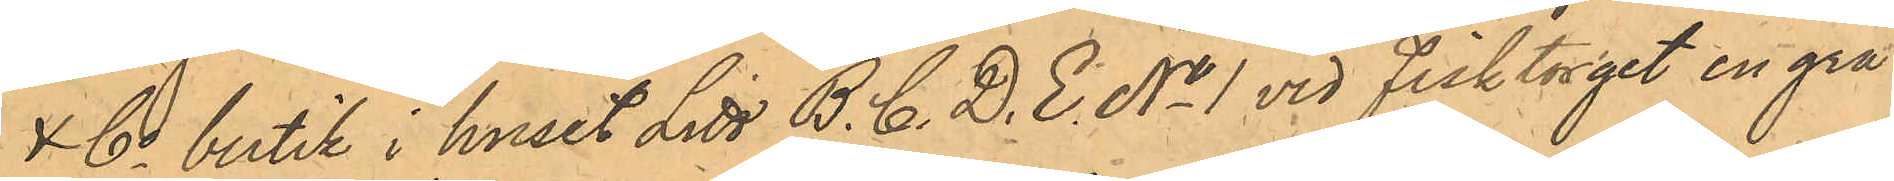& Co butik i huset Litt B. C. D. E. No 1 vid Fisktorget en grå
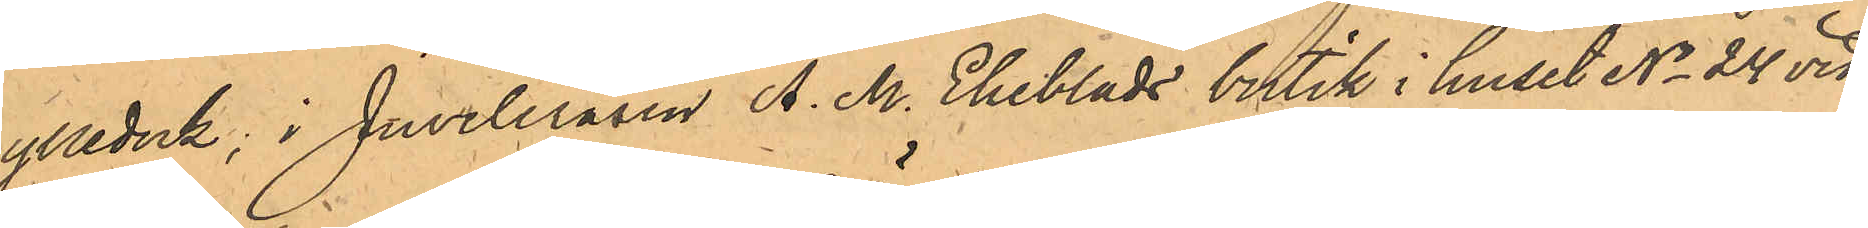ylleduk, i Juveleraren A. M. Ekeblads butik i huset No 24 vid
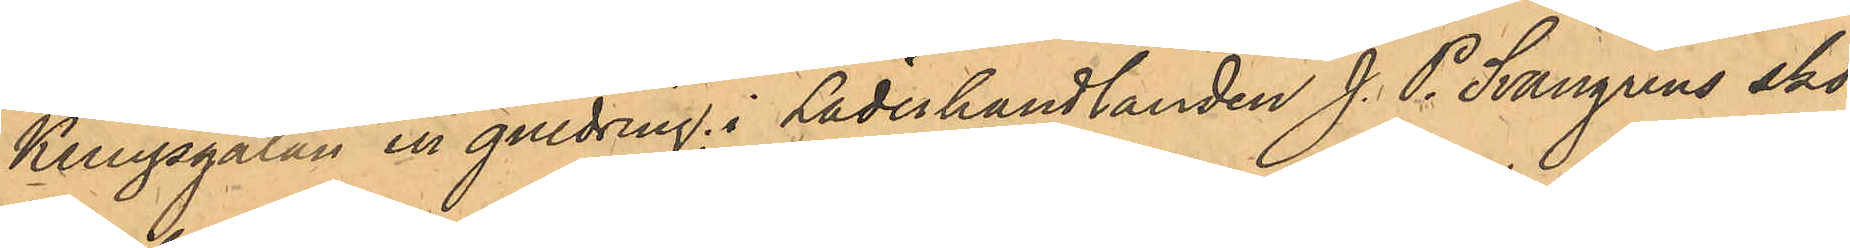Kungsgatan en guldring; i Läderhandlanden J. P. Svangrens sko¬
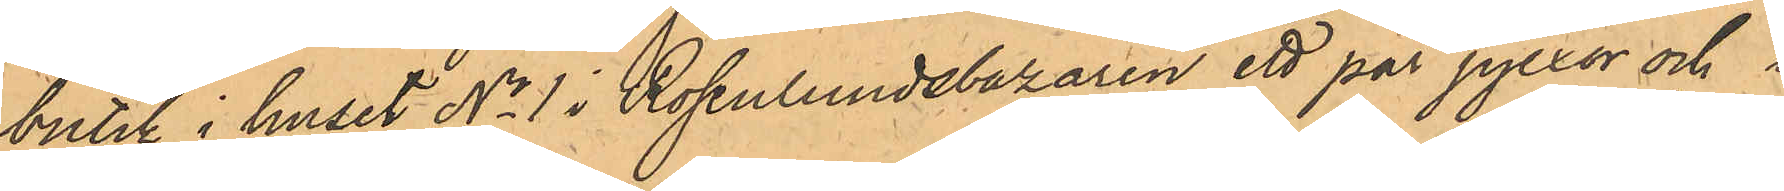butik i huset No 1 i Rosenlundsbazaren ett par pjexor och i
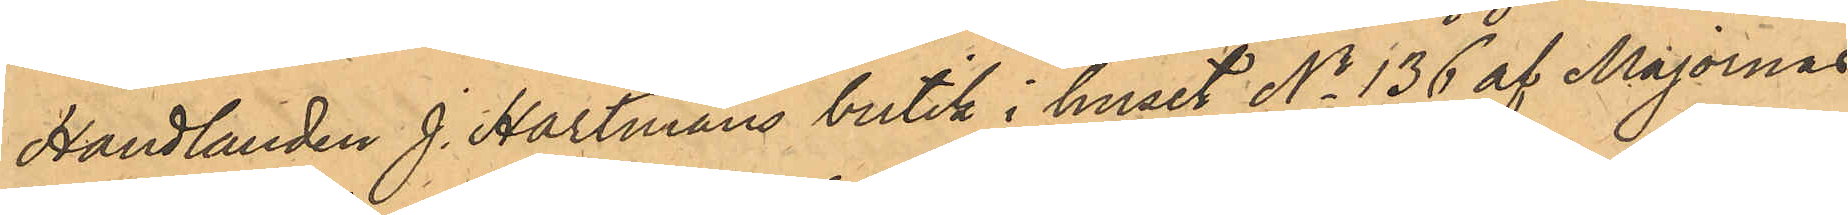Handlanden J. Hartmans butik i huset No 136 af Majornas
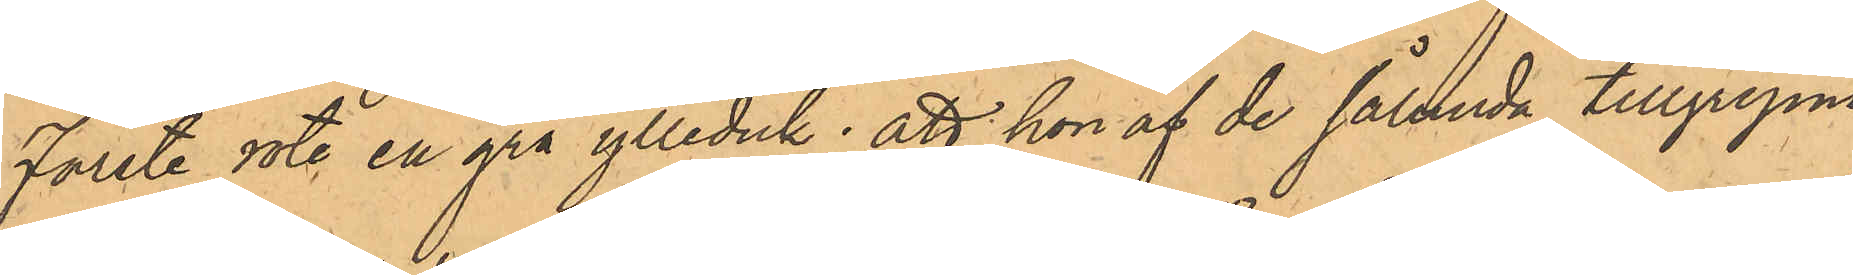Förste rote en grå ylleduk, att hon af de sålunda tillgripne
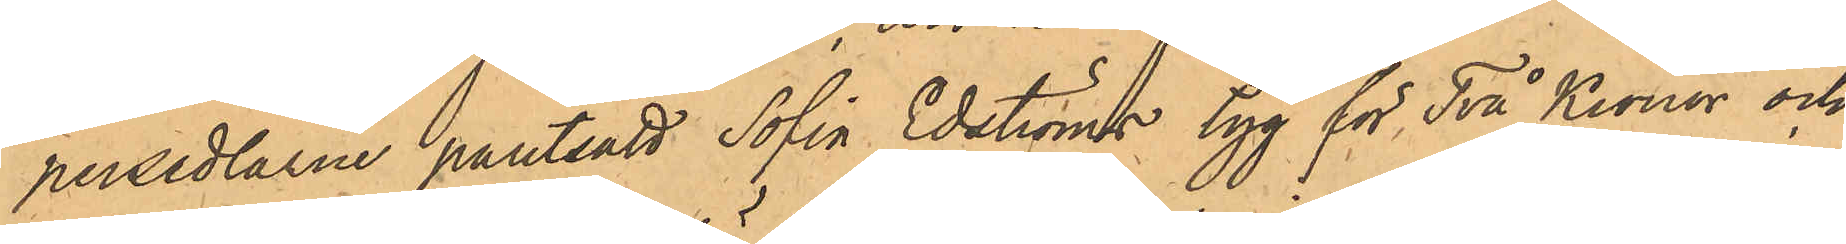persedlarne pantsatt Sofia Edströms tyg för Två Kronor och
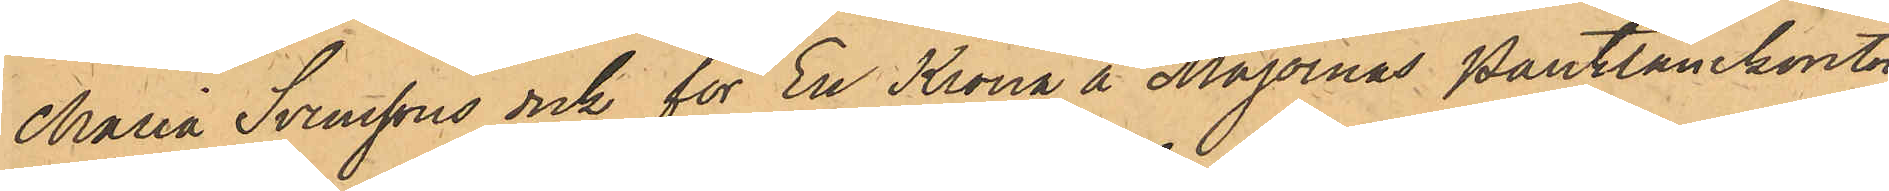Maria Svenssons duk för En Krona å Majornas Pantlånekontor
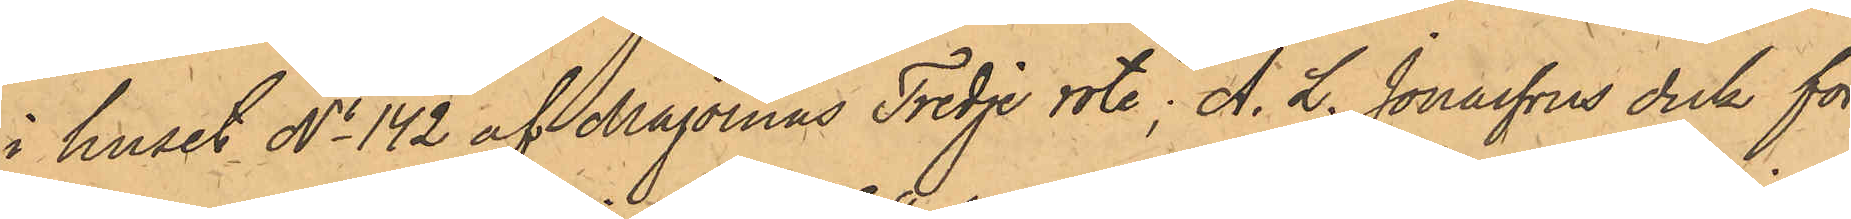i huset No 142 af Majornas Tredje rote, A. L. Jonasson duk för
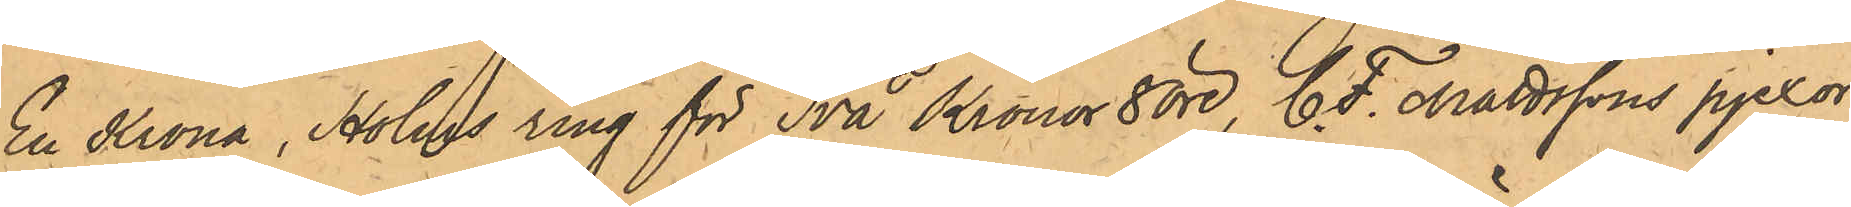En Krona, Holms ring för Två kronor 8 öre, E. F. Mattssons pjexor
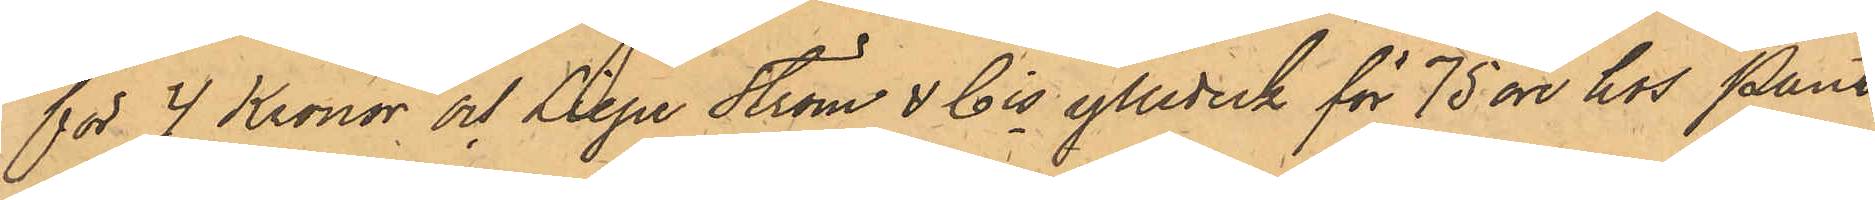för 4 Kronor och Liepe Ström & Cis ylleduk för 75 öre hos Pant¬
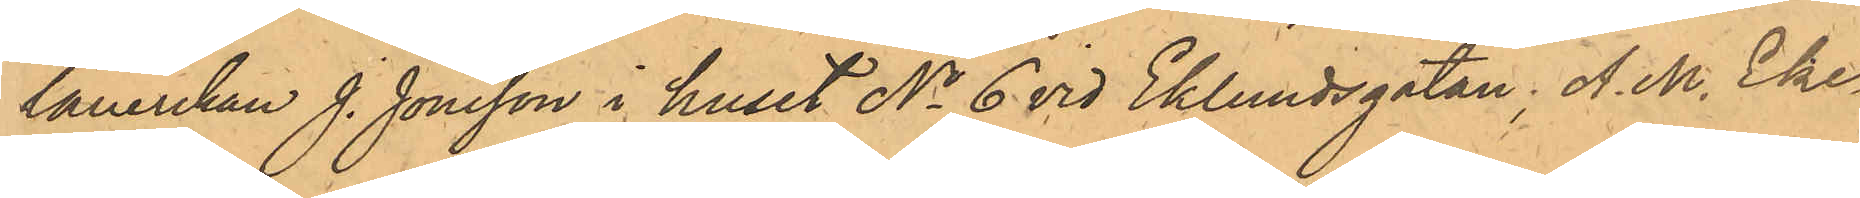lånerskan J. Jonsson i huset No 6 vid Eklundsgatan, A. M. Eke¬
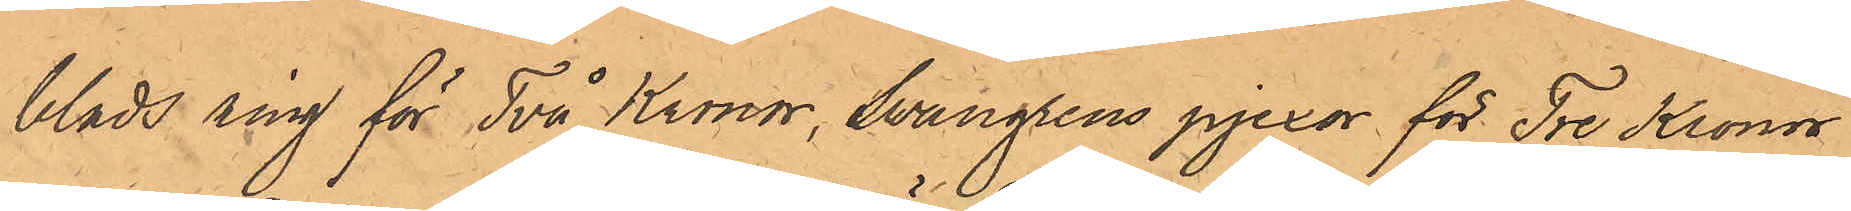blads ring för Två Kronor, Swangrens pjexor för Tre Kronor
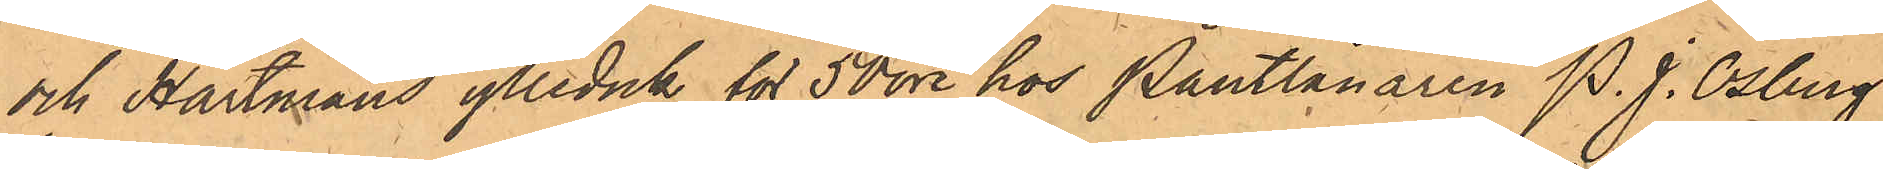och Hartmans ylleduk för 50 öre hos Pantlånaren P. J. Osberg
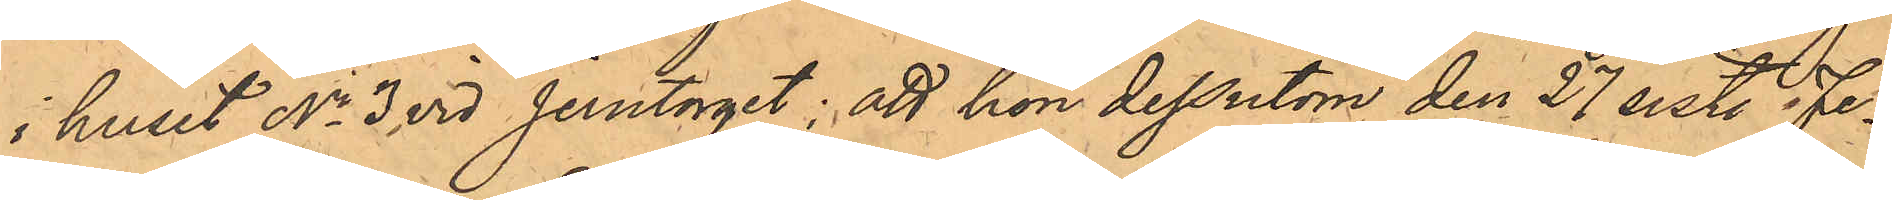i huset No 3 vid Jerntorget; att hon dessutom den 27 sist. Fe¬
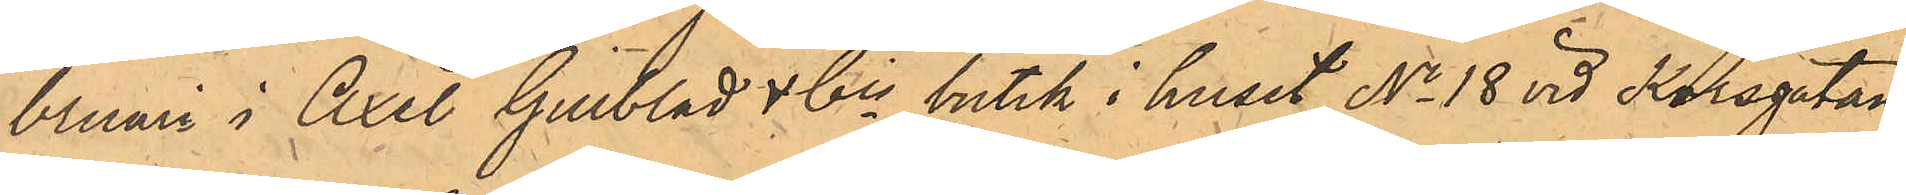bruari i Axel Gillblads & Cis butik i huset No 18 vid Korsgatan
